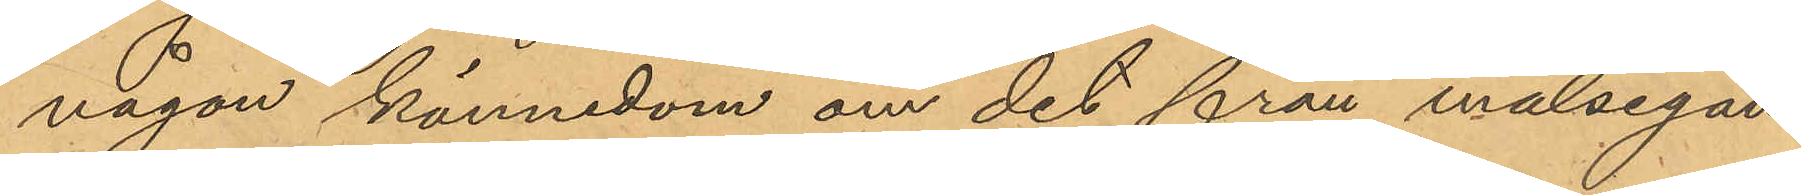någon kännedom om det från målsegan¬
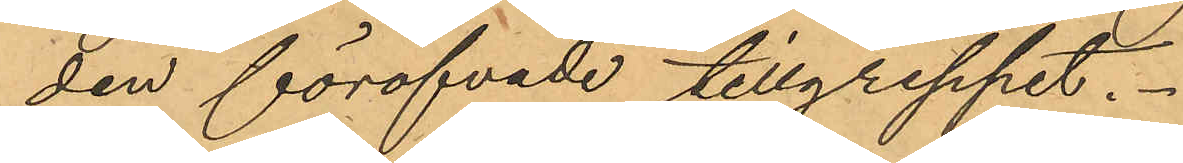den föröfvade tillgreppet.
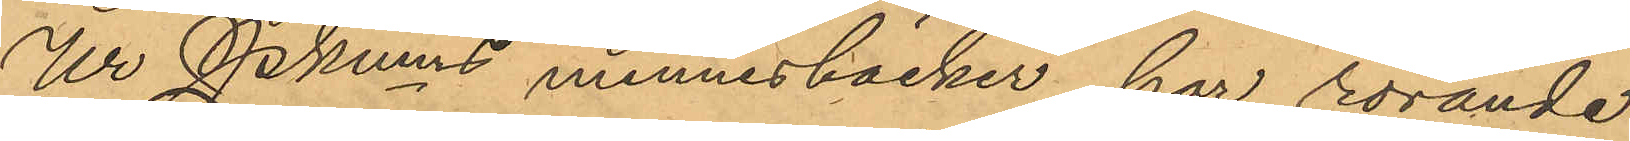Ur Pkmns minnesböcker har rörande
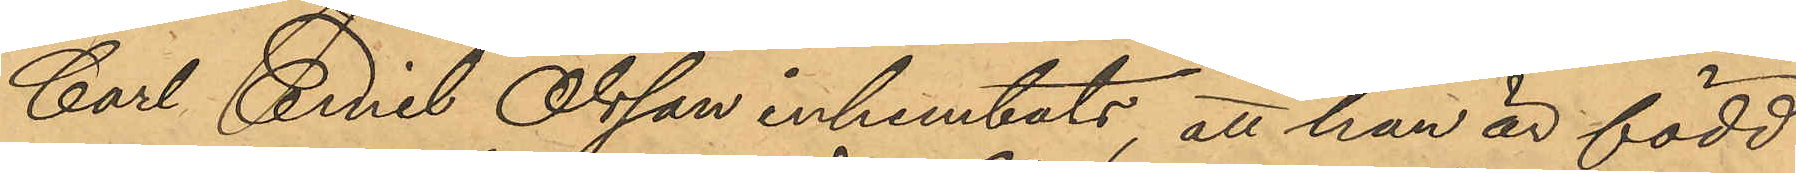Carl Emil Olsson inhemtats, att han är född
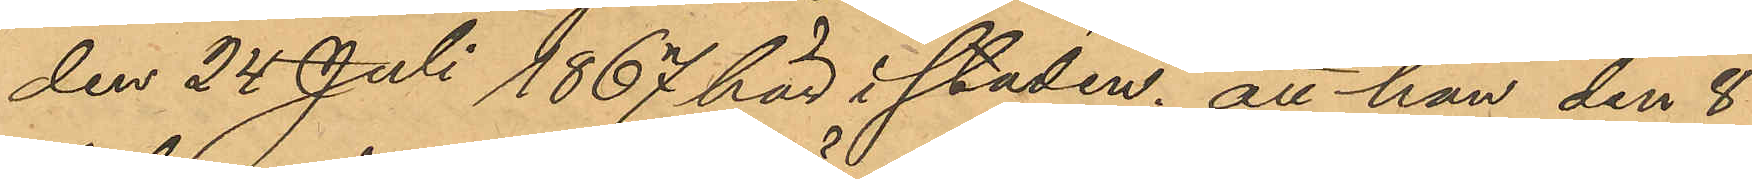den 24 Juli 1867 här i staden; att han den 8
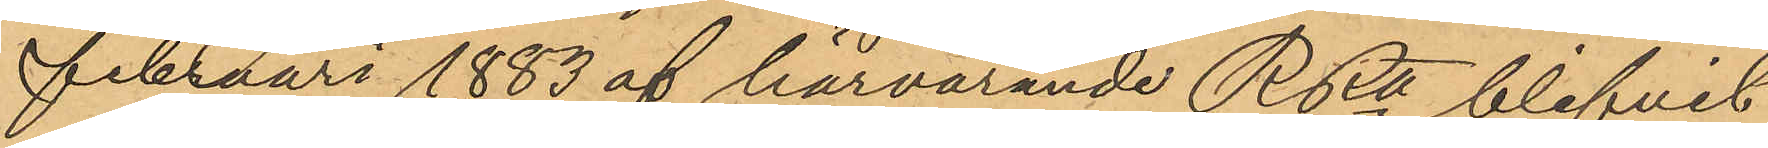Februari 1883 af härvarande RRtt blifvit
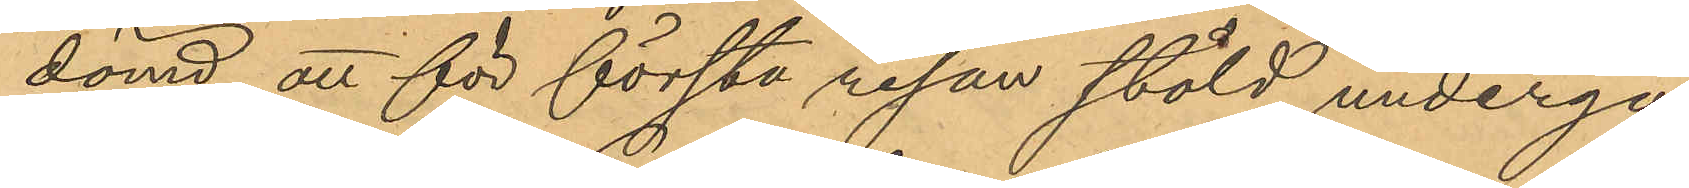dömd att för första resan stöld undergå
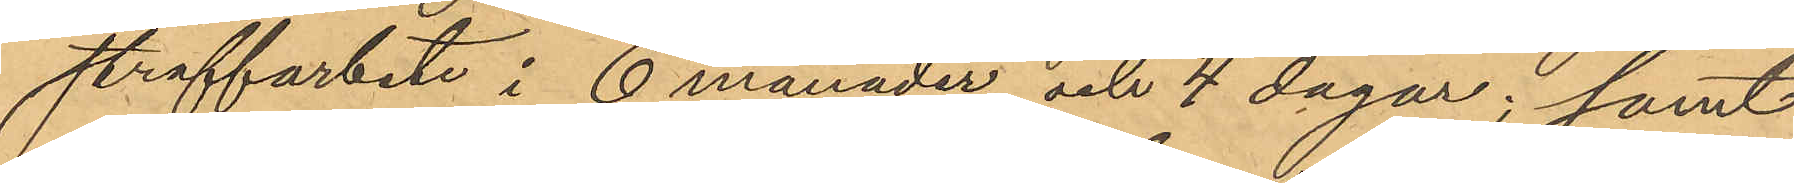straffarbete i 6 månader och 4 dagar; samt
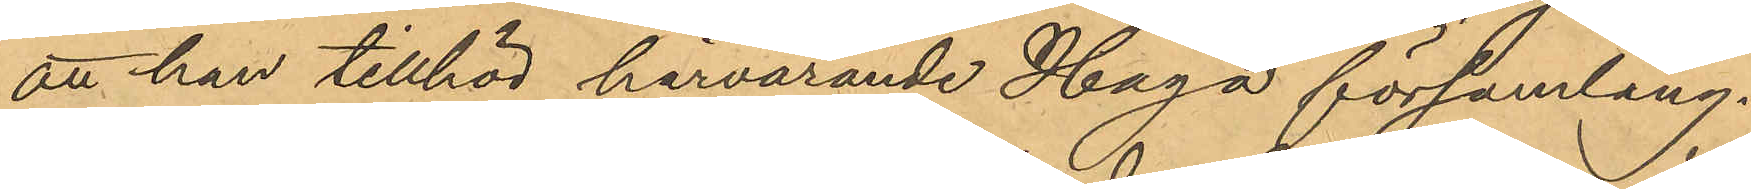att han tillhör härvarande Haga församling.
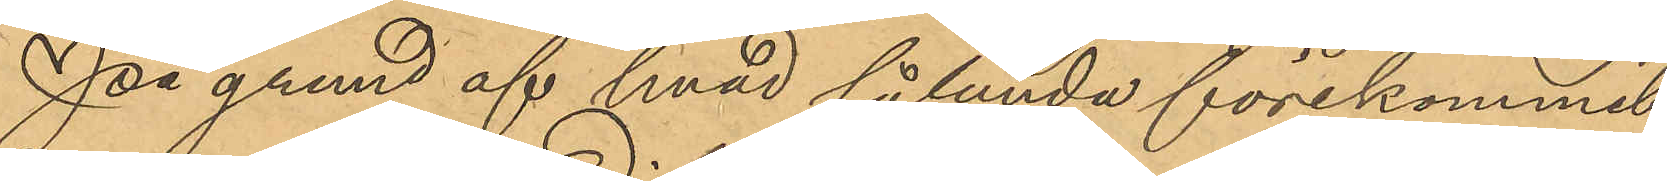På grund af hvad sålunda förekommit
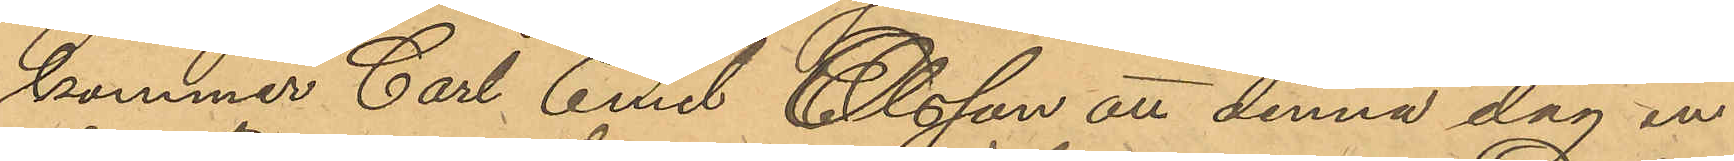kommer Carl Emil Olsson att denna dag in¬
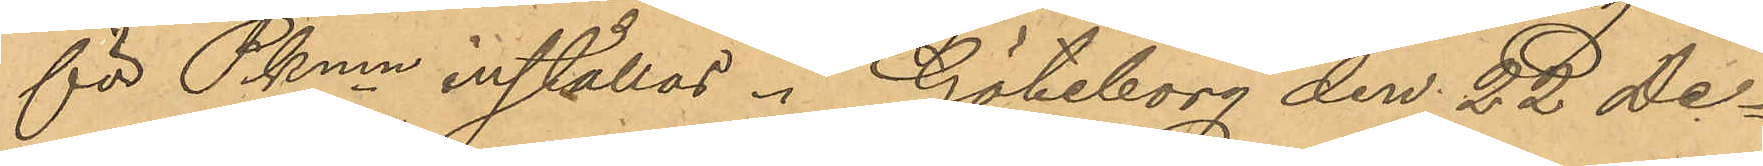för Pkmn inställas. Göteborg den 22 De¬
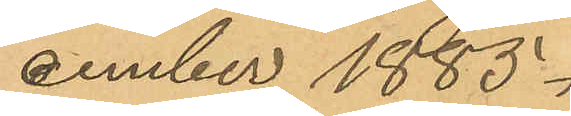cember 1885.
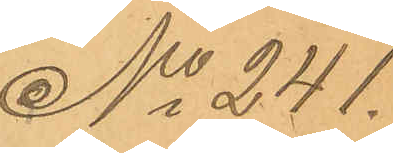No 241.
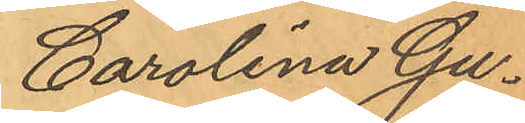Carolina Gu¬
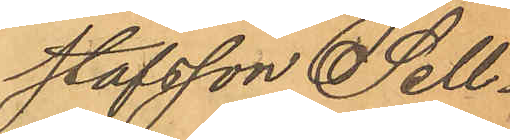stafsson Sell¬
